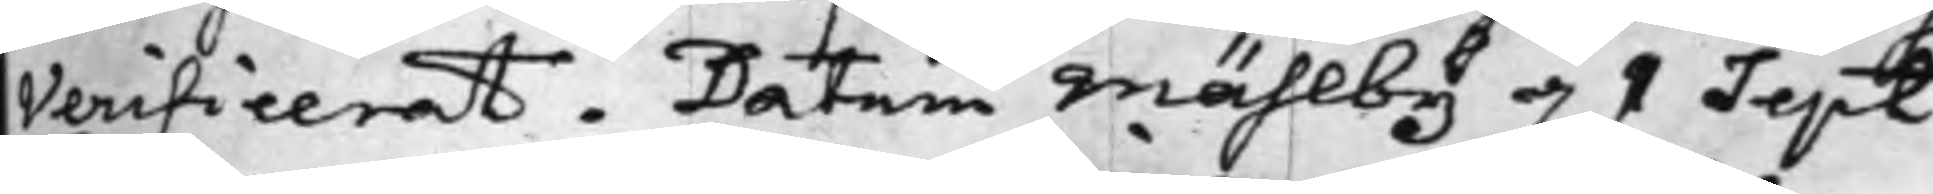Verificerat. Datum Mählby d. 1 Sept:
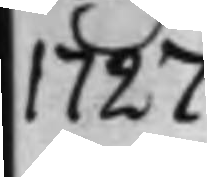1727.
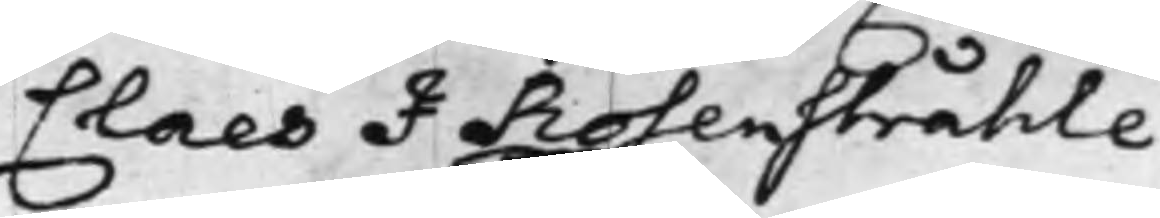Claes J Rosenstråhle
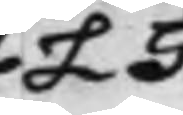L S
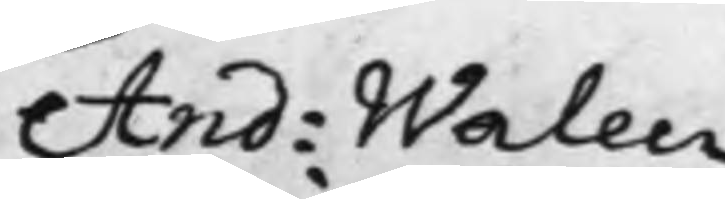And: Walen
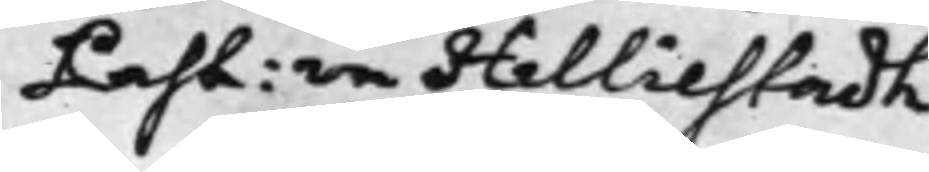Past: in Helliestadh
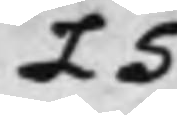L S
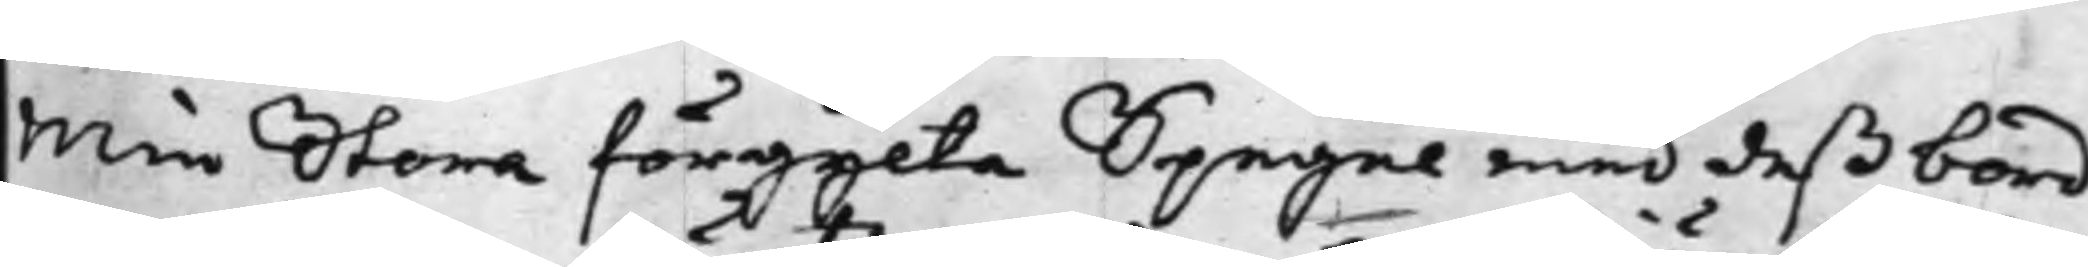Min Stora förgylta Spegel med deß bord
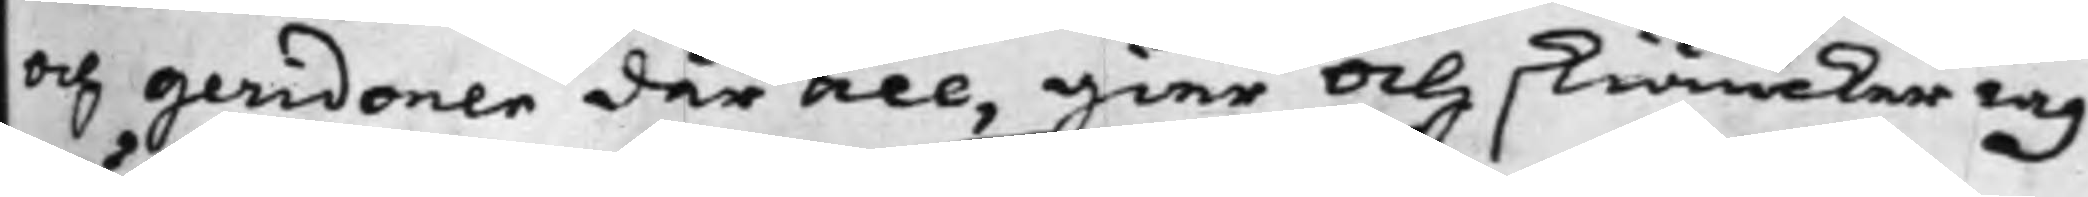och geridoner där till, gier och skiäncker iag
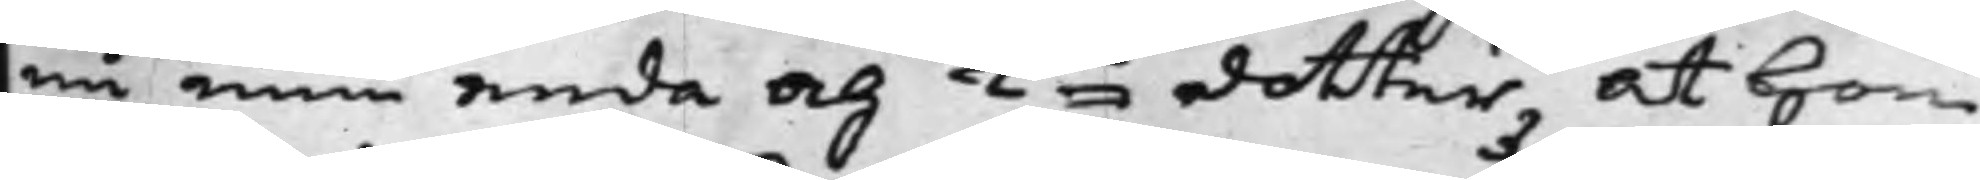nu min enda och Ka dotter, at hon
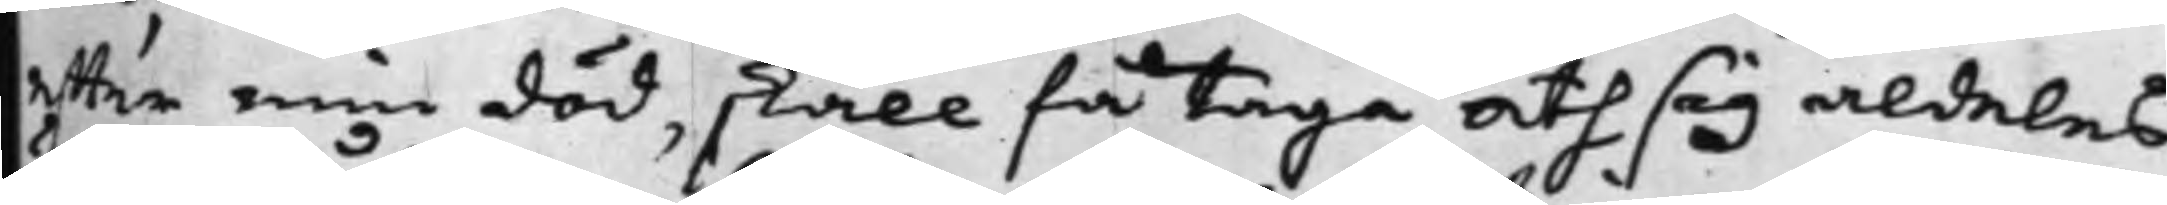effter min död, skall få taga åth sig aldeles
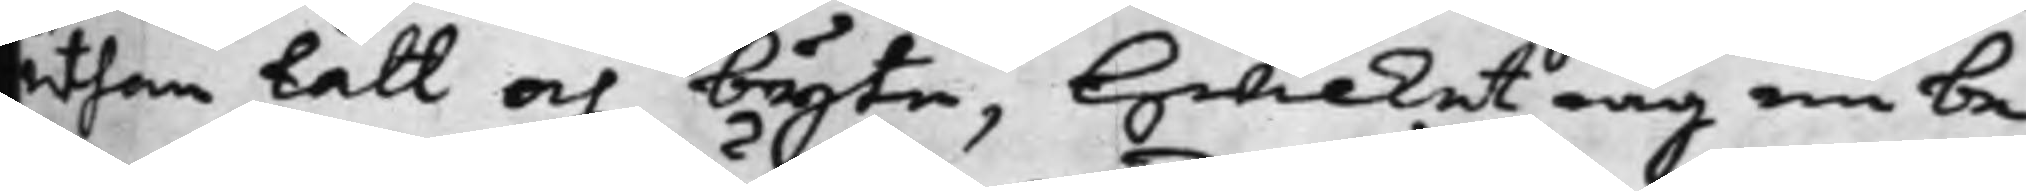uthan lått och byte, Hwilket iag nu be¬
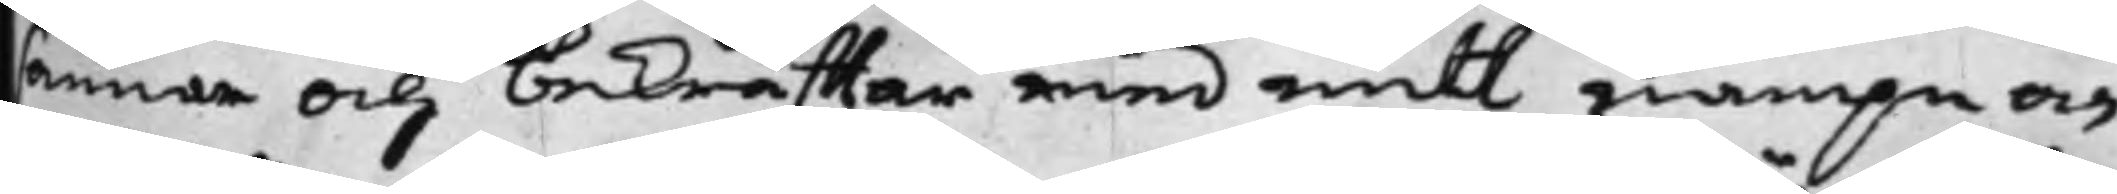sannar och bekräfftar med mitt nampn och
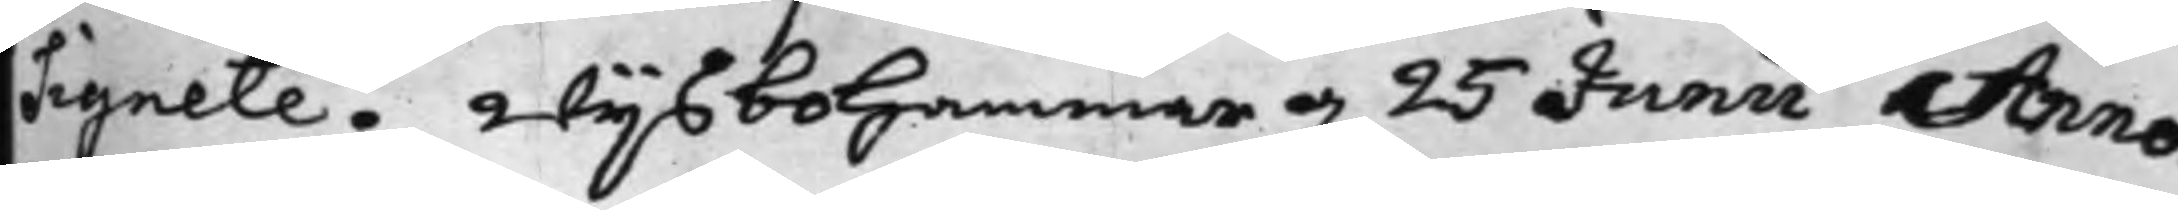Signete. Wijsbohammar d. 25 Junii Anno
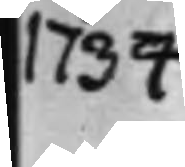1734
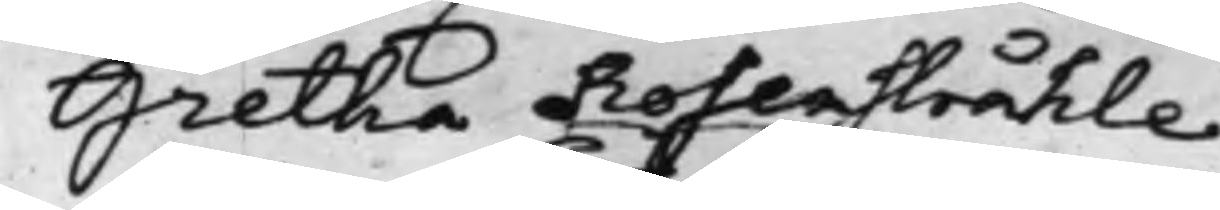Gretha Rosenstråhle.
